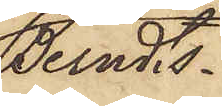Berndts¬
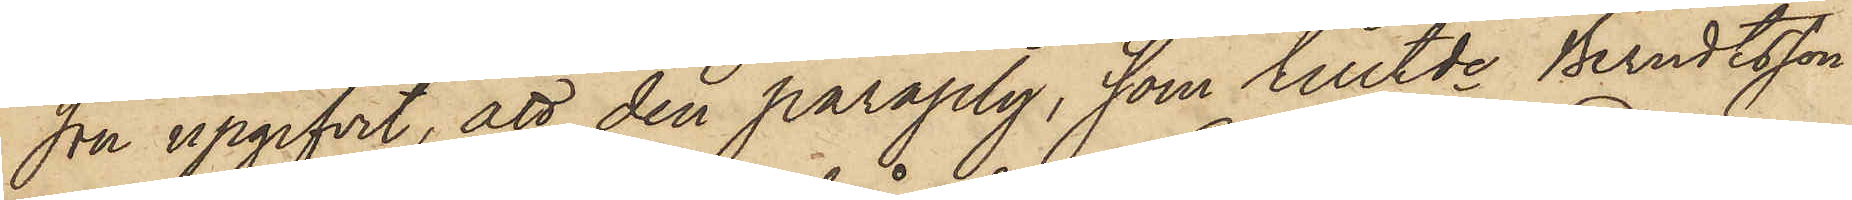son upgifvit, att den paraply, som tilltde Berndtsson
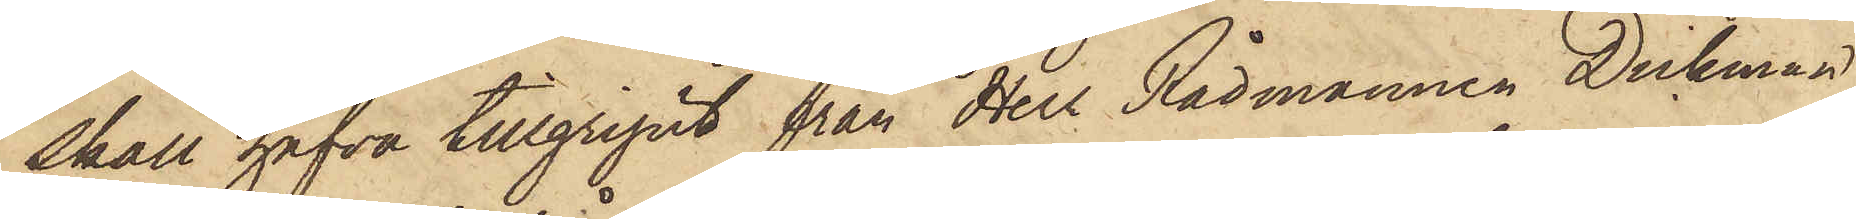skall hafva tillgripit från Herr Rådmannen Dickman,
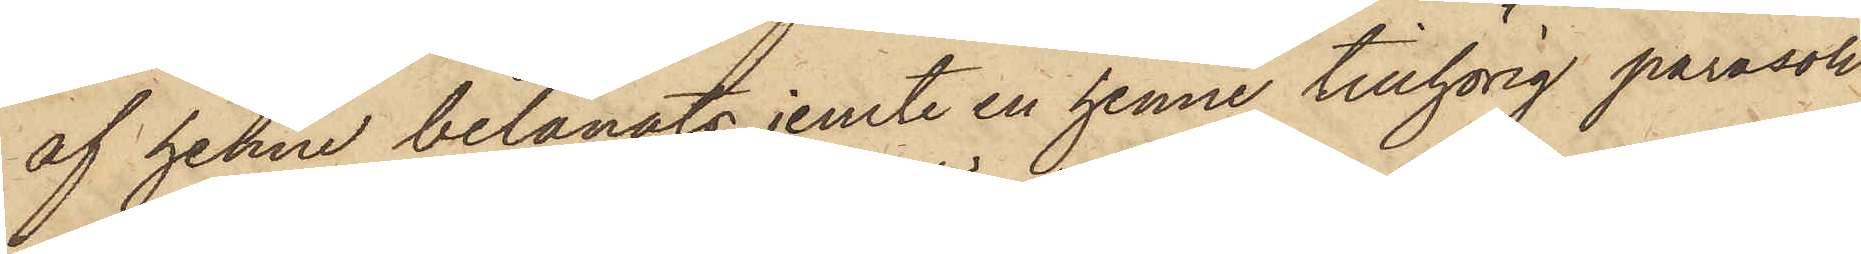af henne belånats jemte en henne tillhörig parasoll
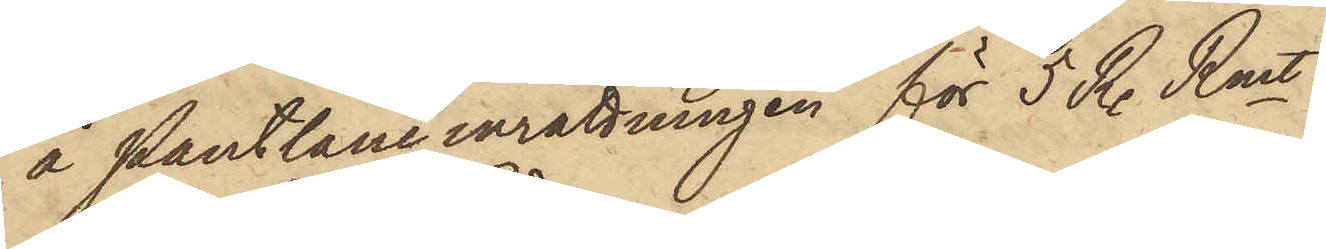å Pantlåneinrättningen för 5 R. Rmt.
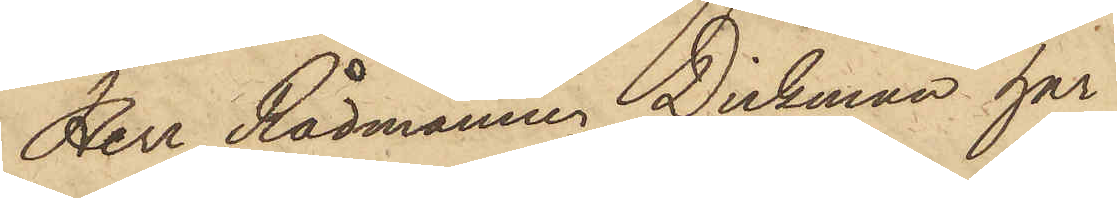Herr Rådmannen Dickman har
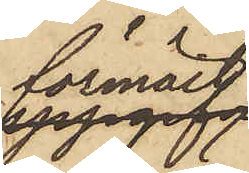förmält,
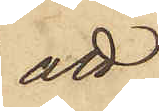att
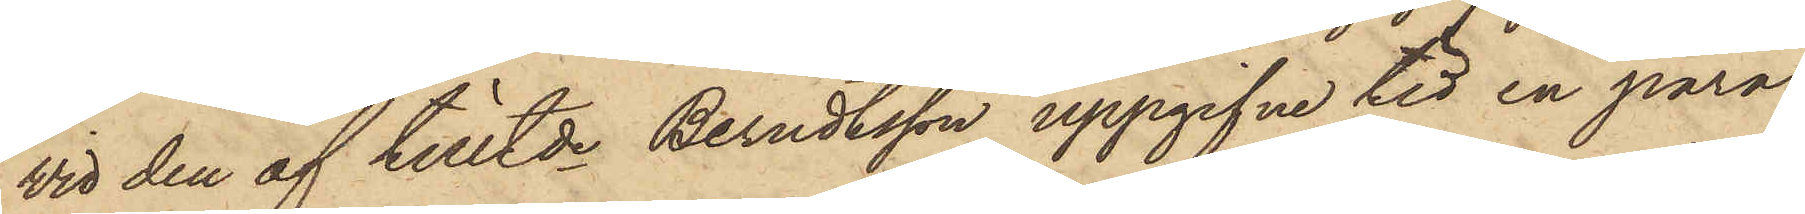vid den af tilltde Berndtsson uppgifne tid en para¬
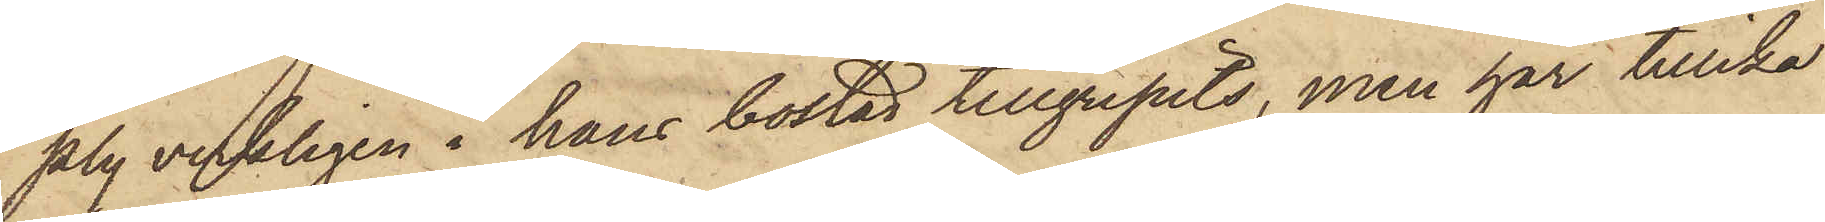ply verkligen i hans bostad tillgripits, men har tillika
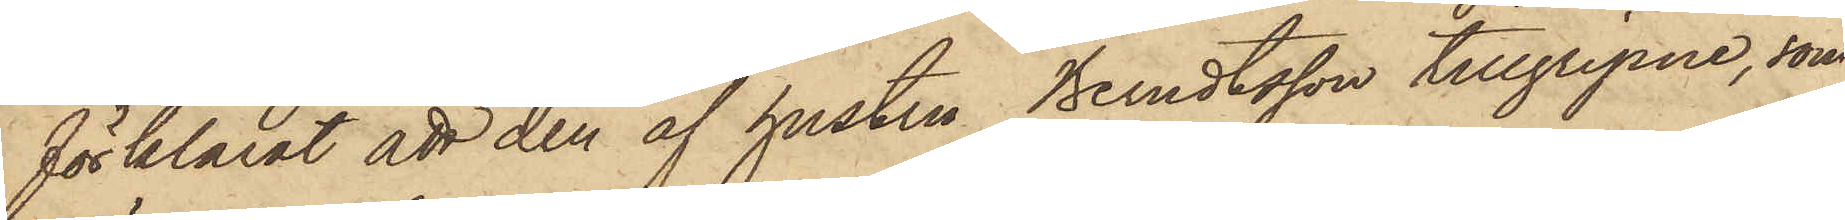förklarat att den af hustru Berndtsson tillgripne, som
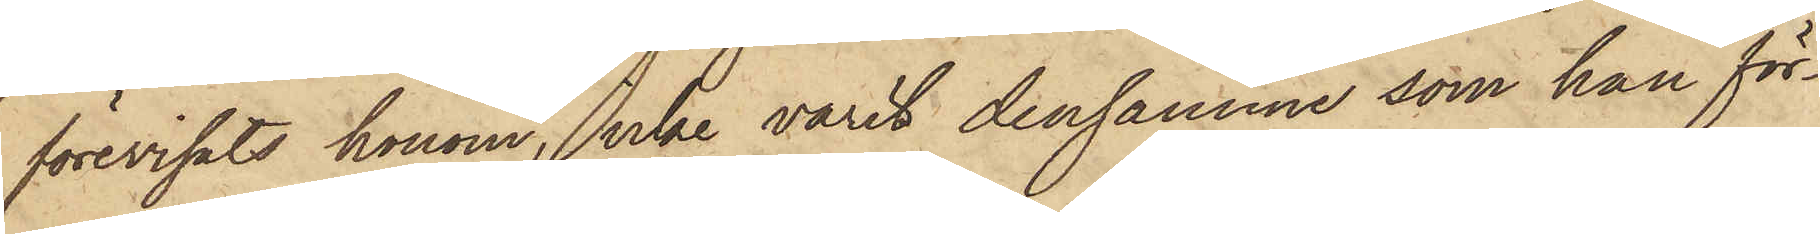förevisats honom, icke varit densamme som han för¬
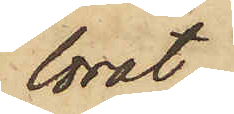lorat.
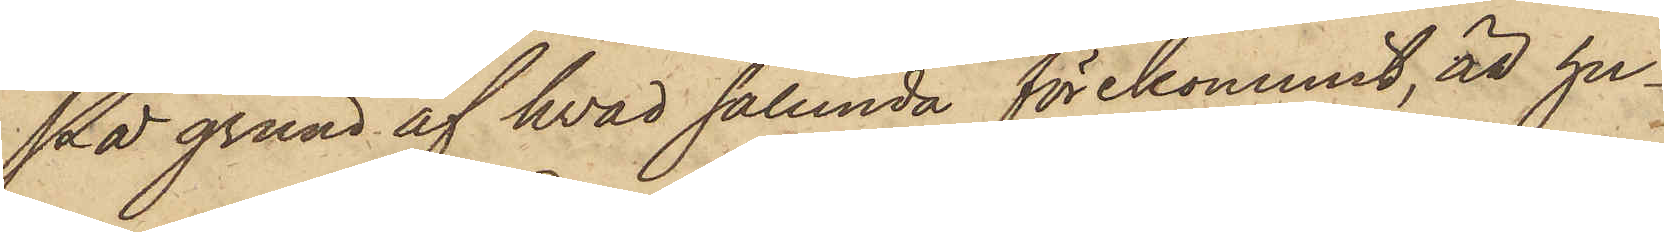På grund af hvad sålunda förekommit, att hu¬
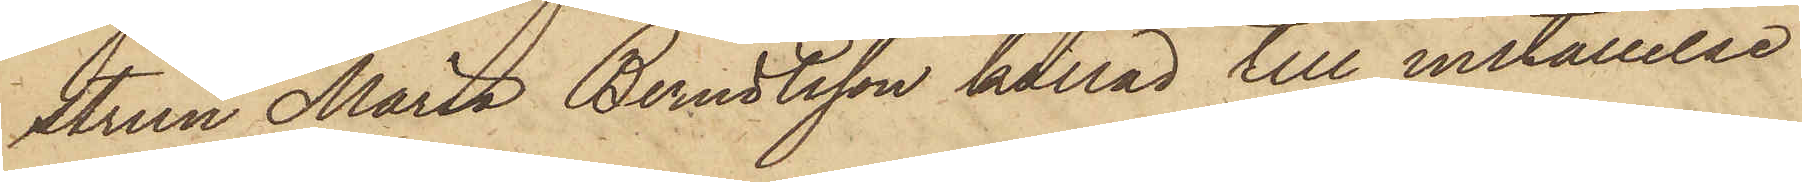strun Maria Berndtsson kallad till inställelse
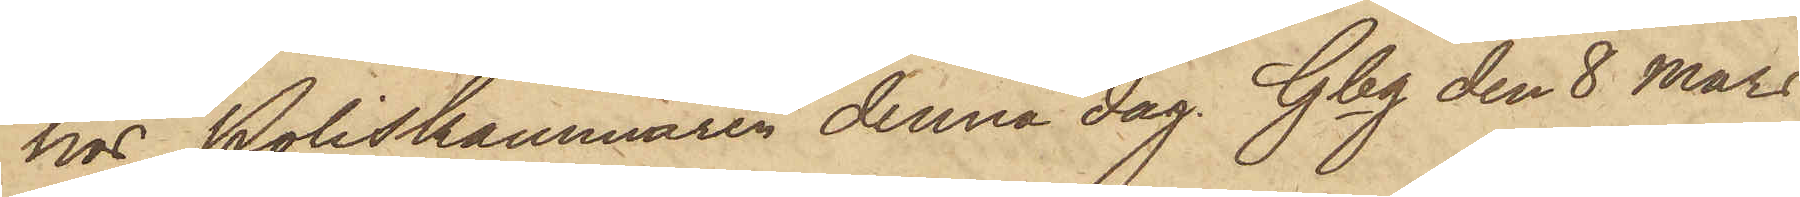hos Poliskammaren denna dag. Gbg den 8 Mars
